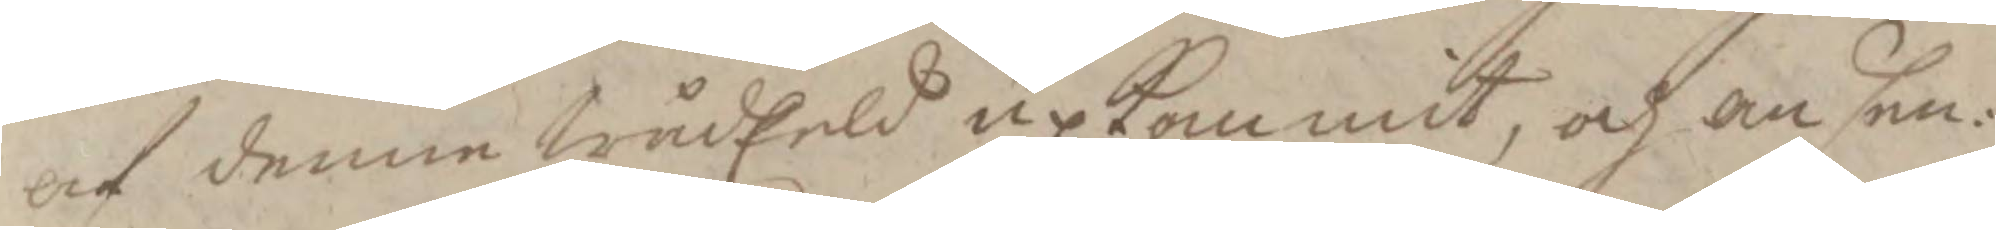af denne wädEeld upkommit, och ansen¬
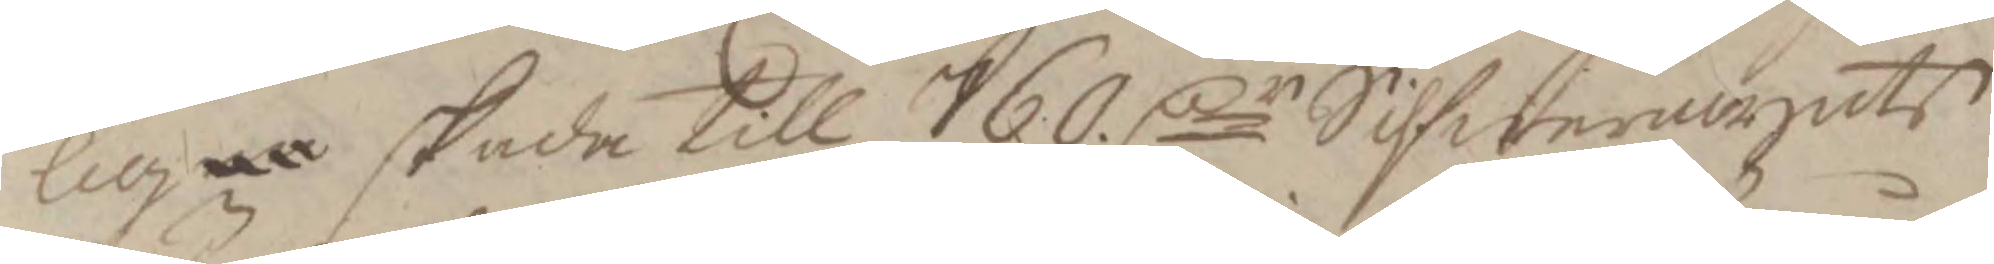lig skada till 760 Cr Silfwermynts
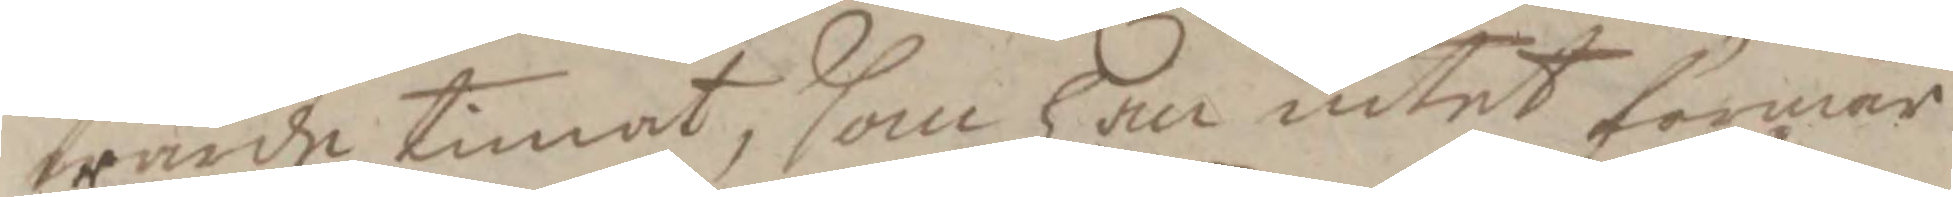wärde timat, som han intet förmår
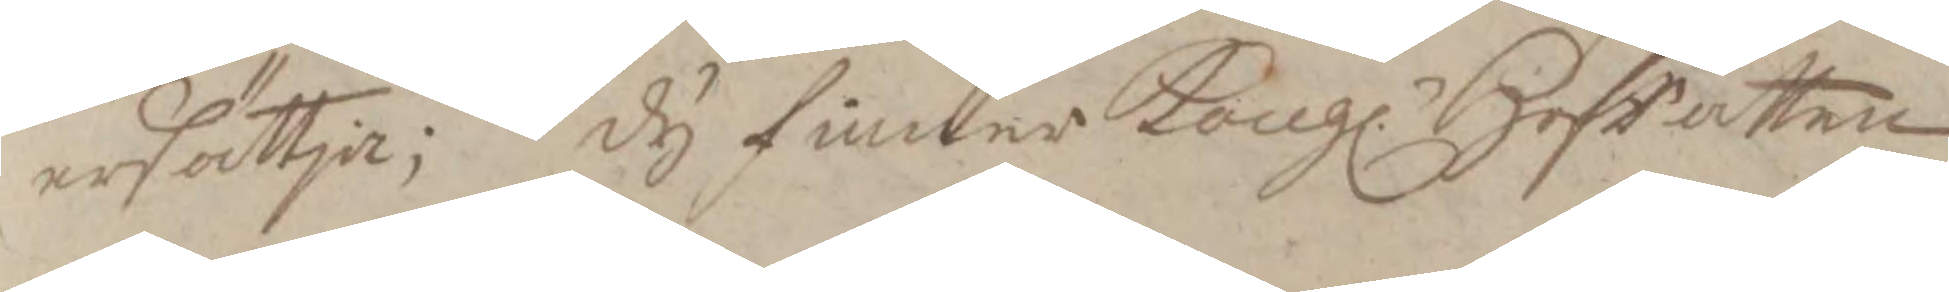ersättja; dy finner Kongl. HofRätten
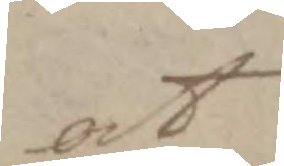at
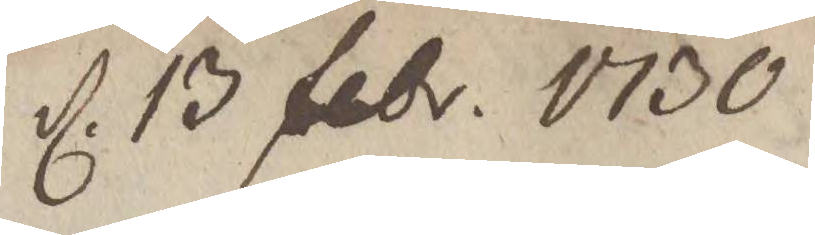d. 13 febr. 1730.
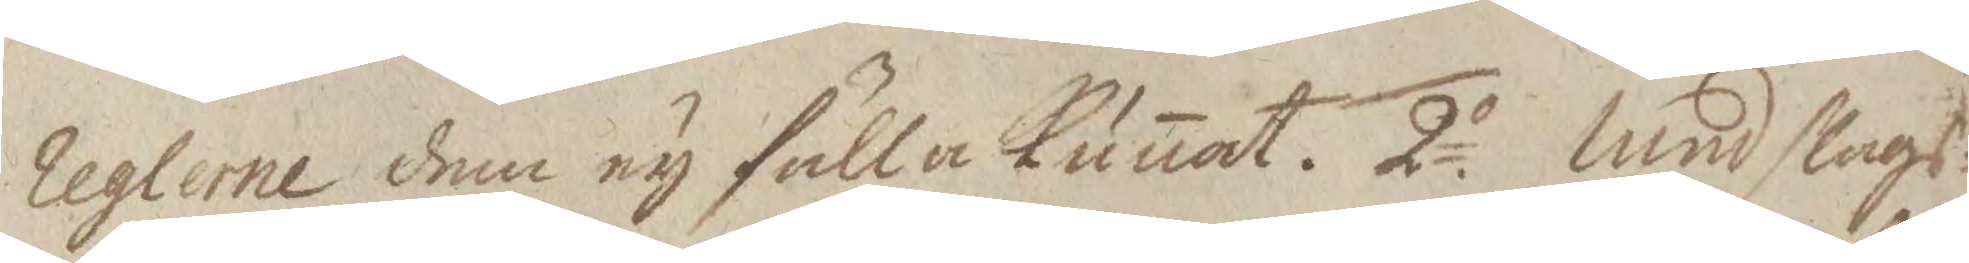reglerne dem ny fälla Kunat. 2o Med slags¬
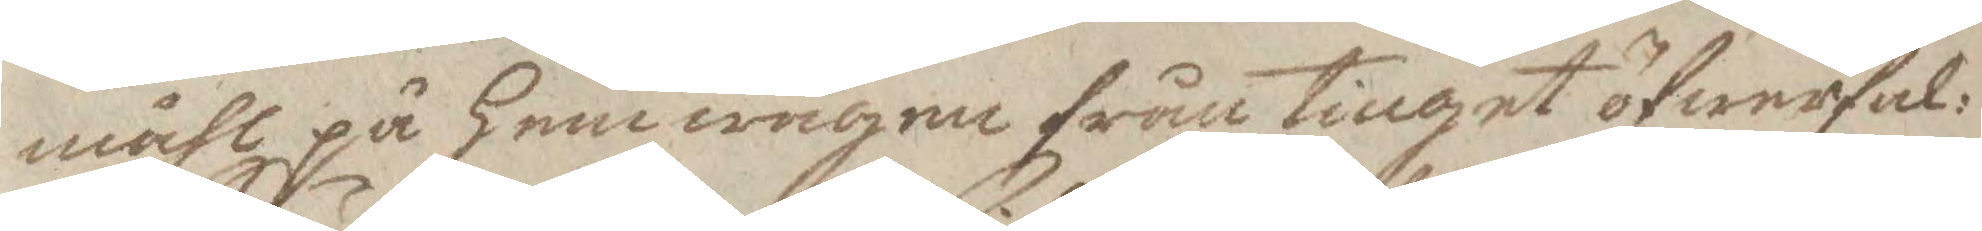målet på hemwägen från tinget öfwerfal¬
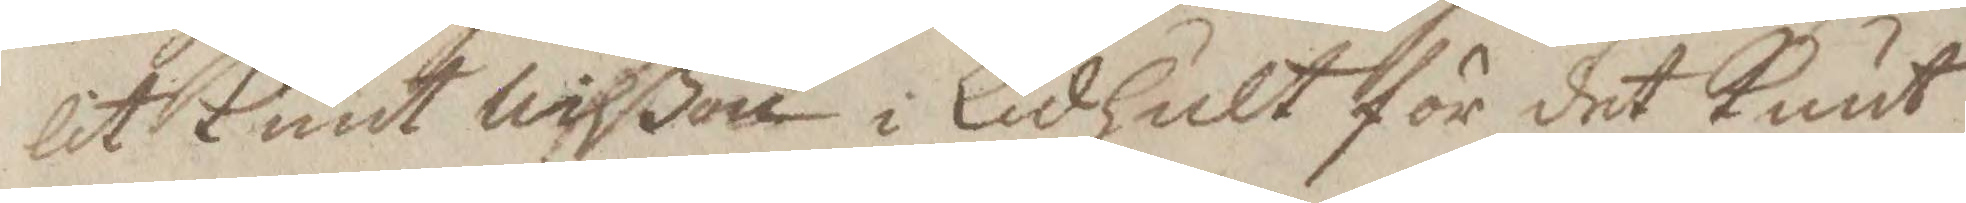lit Knut Nilßon i Lidhult för det Knut
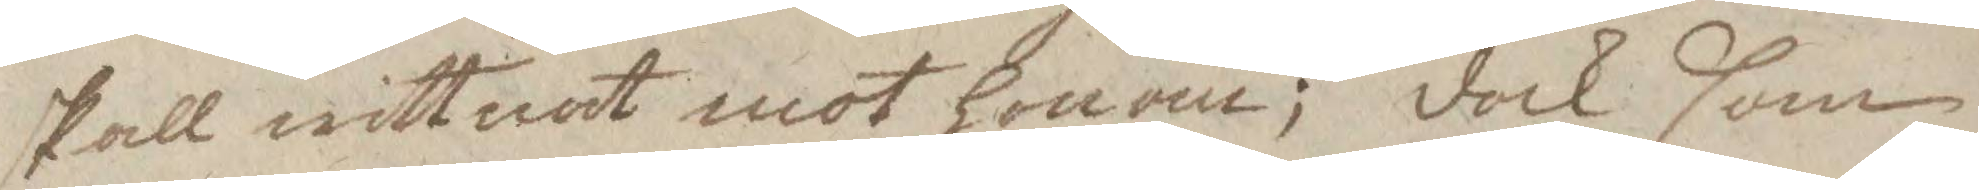skall wittnat mot honom; dock som
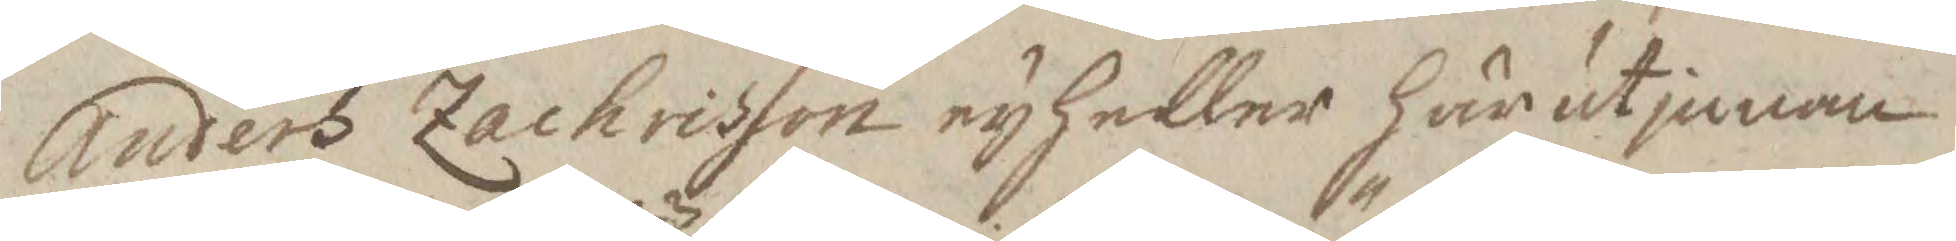Anders Zachrisson ey heller härutinnan
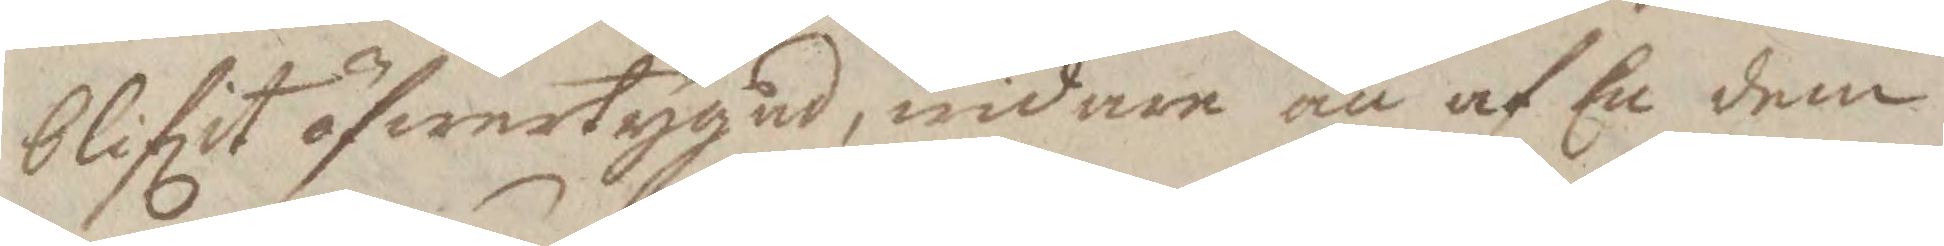blifit öfwertygad, widare än af En dem
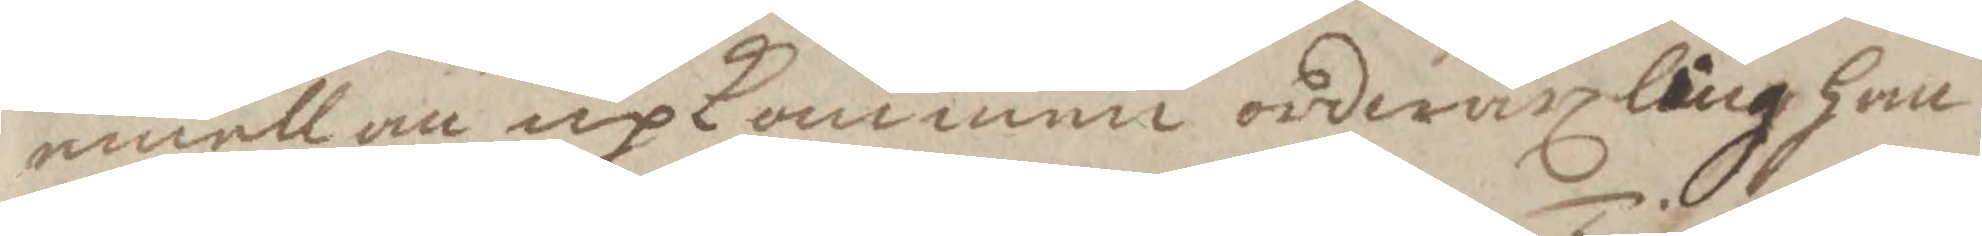emellan upkommen ordwäxling han
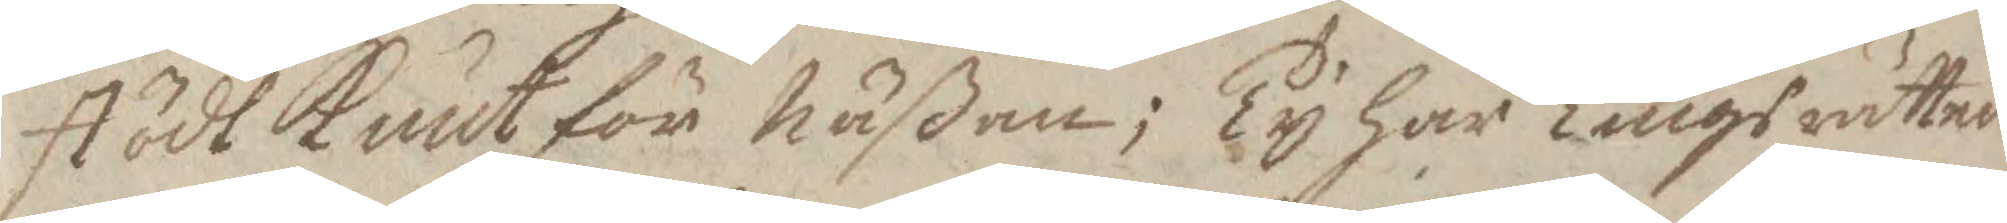stödt Knut för näßan; Ty har Tingsrätten
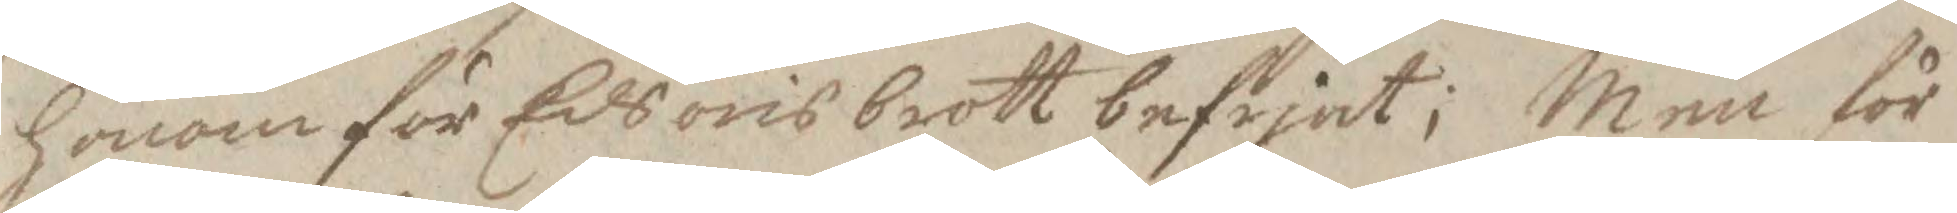honom för Edsöresbrott befrjat; Men för
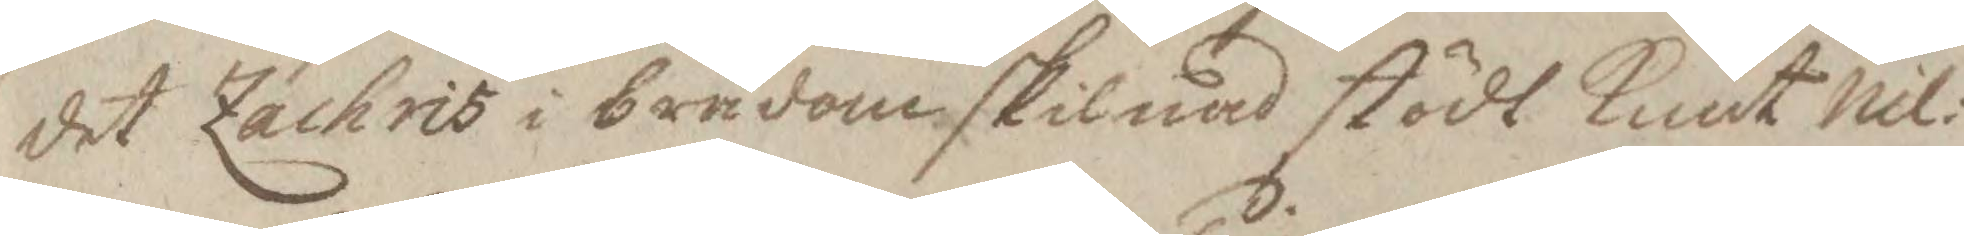det Zachris i brådom skilnad stödt Knut Nil¬
